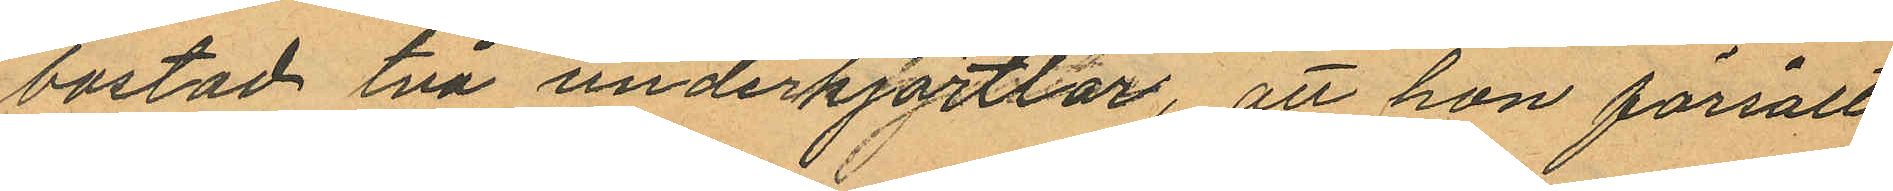bostad två underkjortlar, att hon försålt
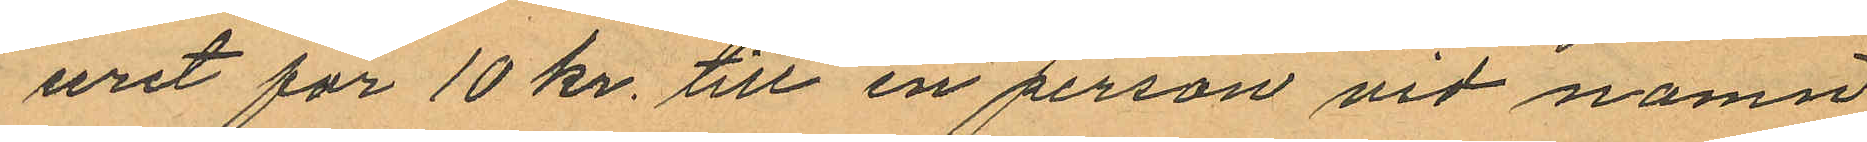uret för 10 kr. till en person vid namn
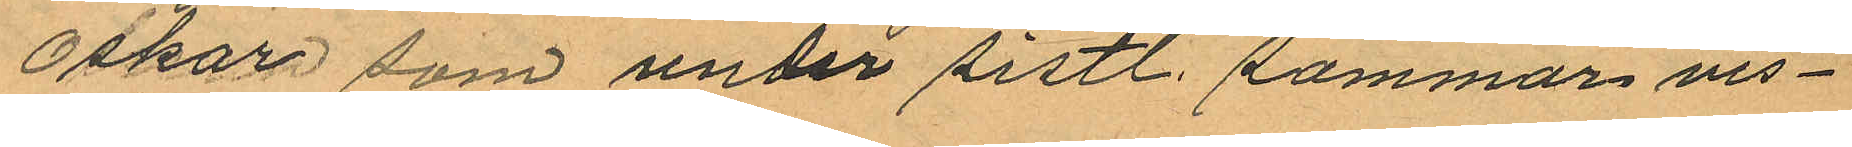Oskar som under sistl. sommar vis¬
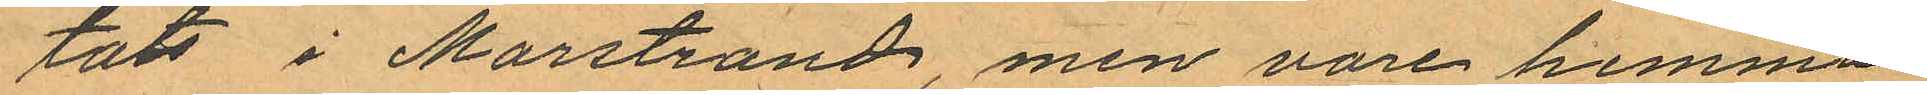tats i Marstrand, men vore hemma¬
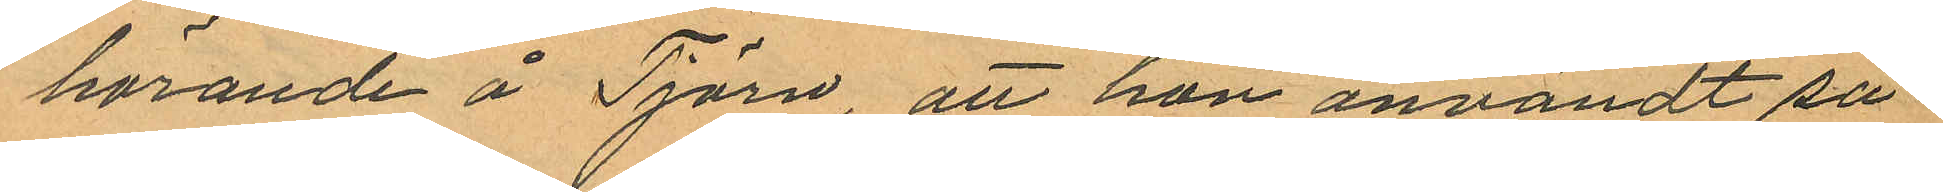hörande å Tjörn, att hon användt så¬
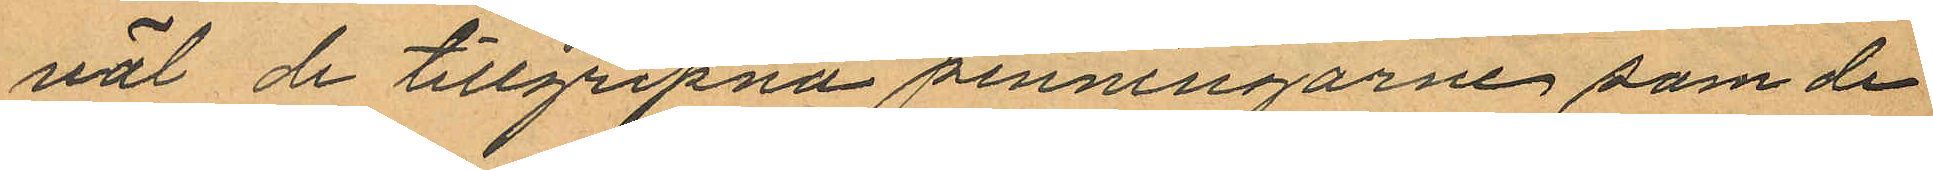väl de tillgripna penningarne som de
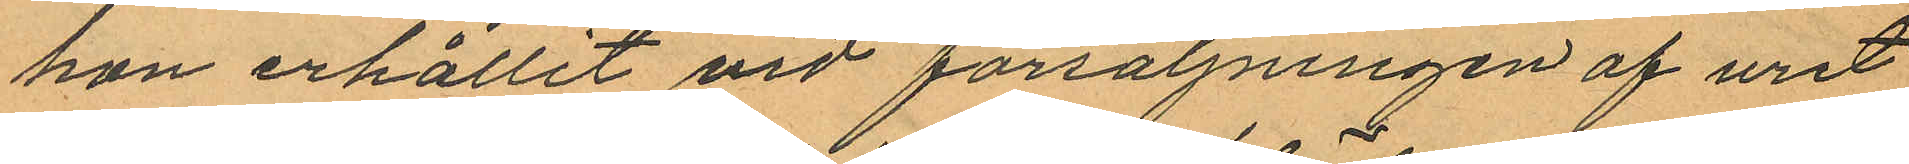hon erhållit vid försäljningen af uret
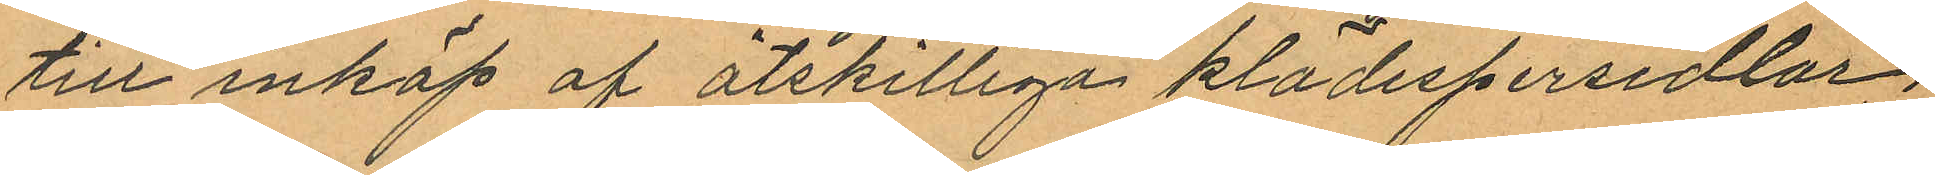till inköp af åtskilliga klädespersedlar
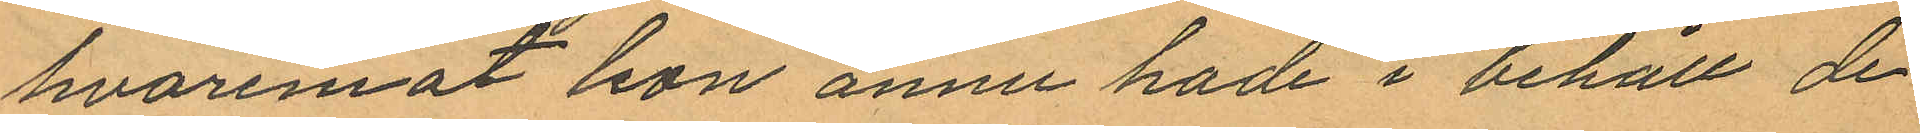hvaremot hon ännu hade i behåll de
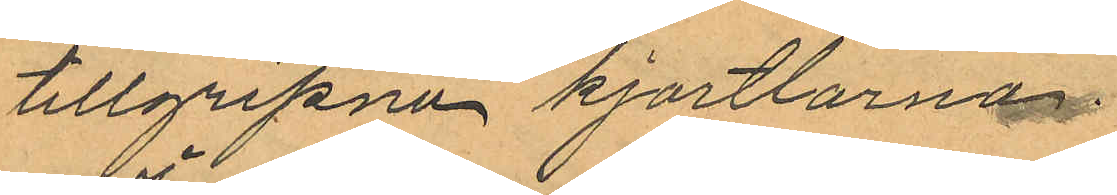tillgripne kjortlarna.
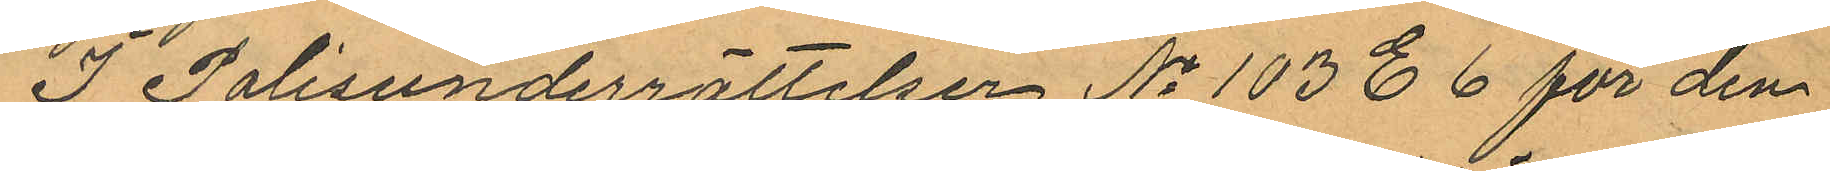I Polisunderrättelser No 103 E 6 för den
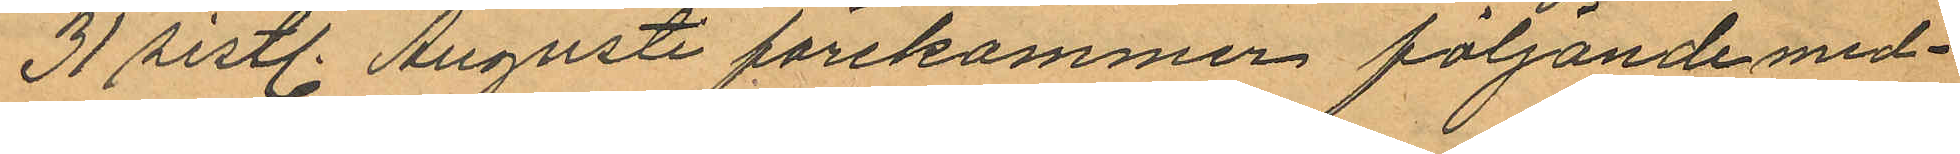31 sistl. Augusti förekommer följande med¬
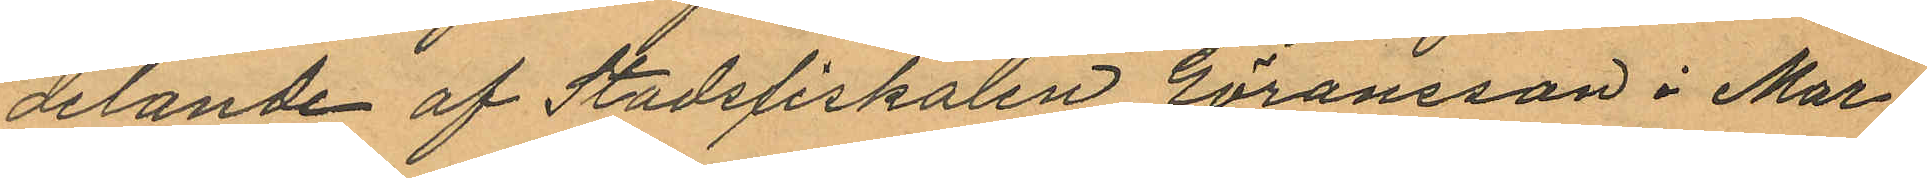delande af Stadsfiskalen Göransson i Mar¬
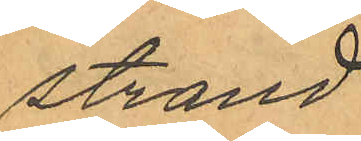strand.
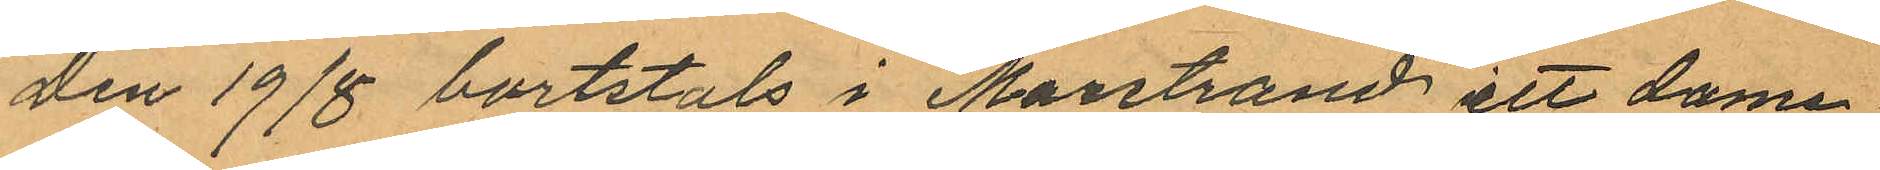"den 19/8 bortstals i Marstrand ett dame¬
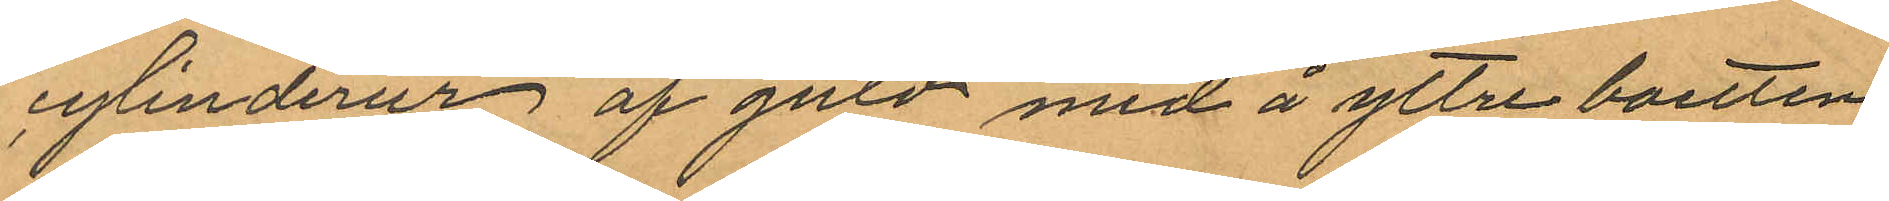cylinderur af guld med å yttre boetten
